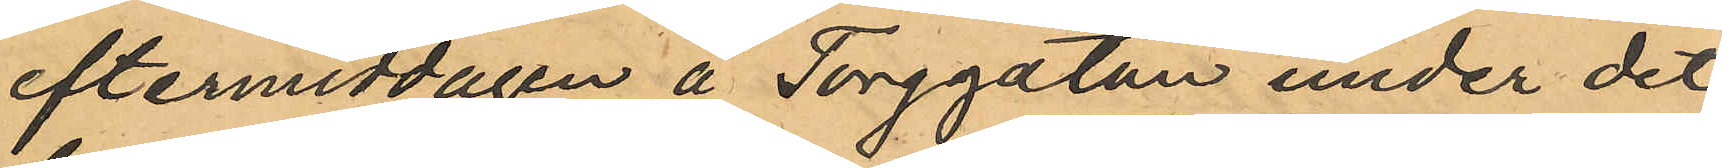eftermiddagen å Torggatan under det
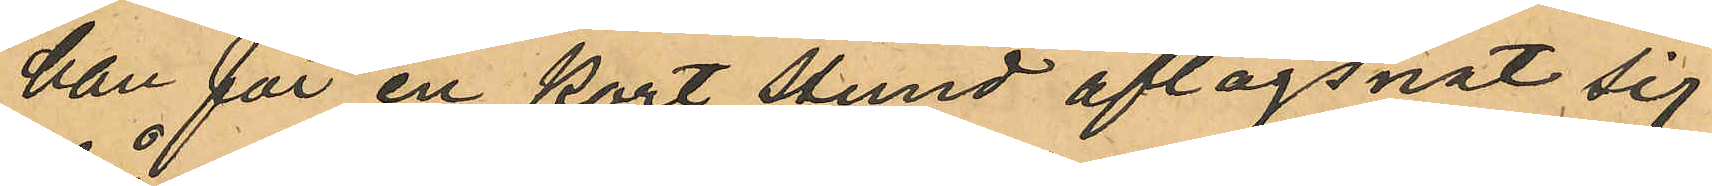han för en kort stund aflägsnat sig
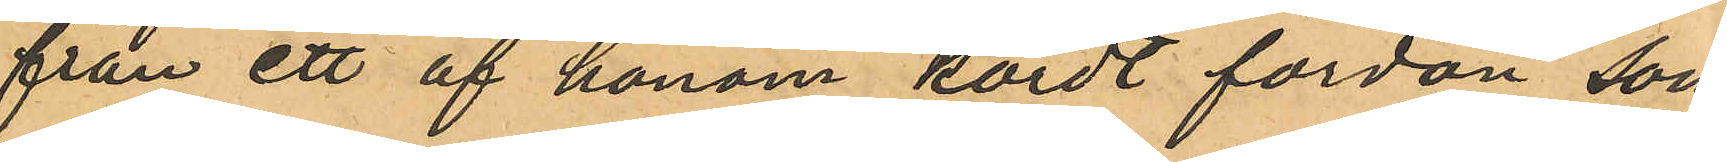från ett af honom kördt fordon, som
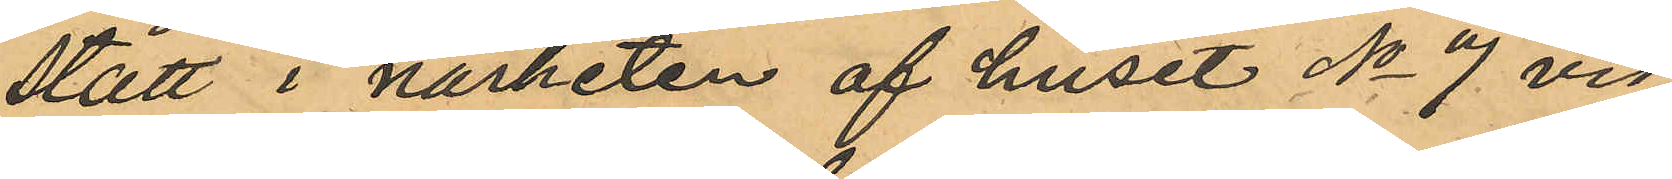stått i närheten af huset No 7 vid
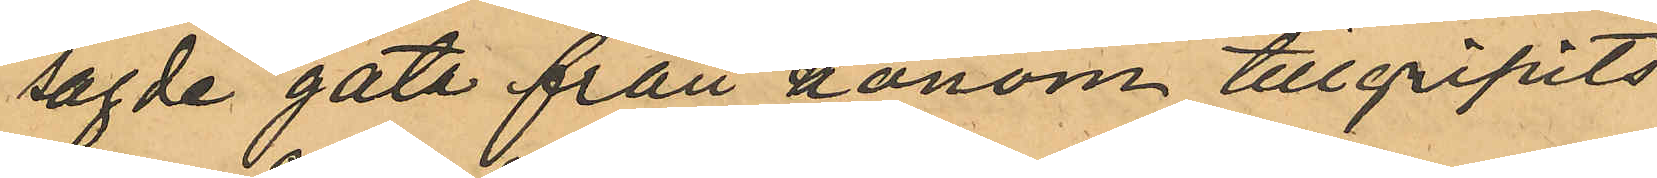sagde gata från honom tillgripits
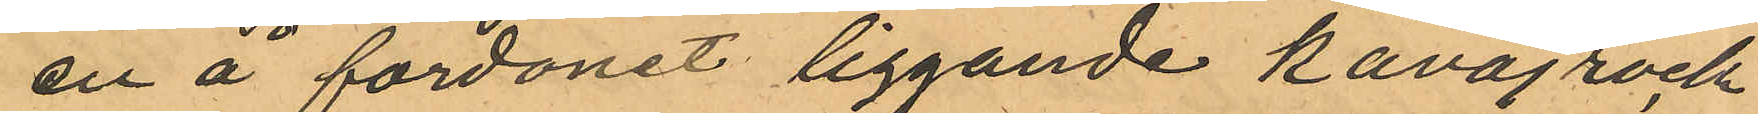en å fordonet liggande kavajrock
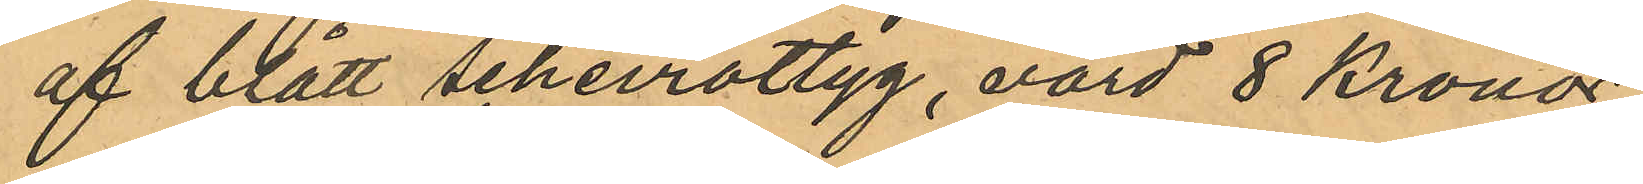af blått scheviottyg, värd 8 kronor
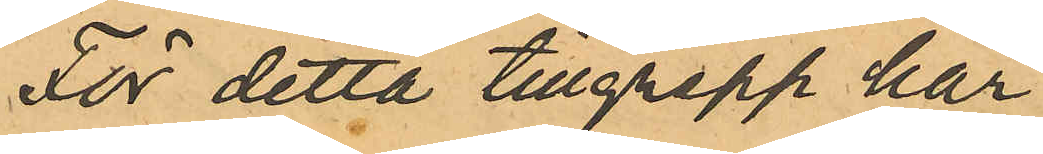För detta tillgrepp har
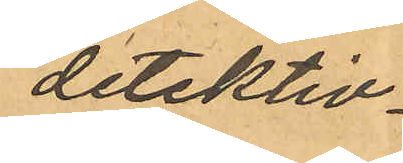detektiv¬
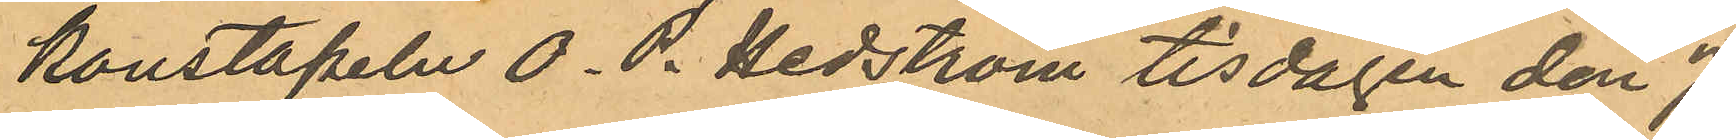konstapeln O. P. Hedström tisdagen den 7
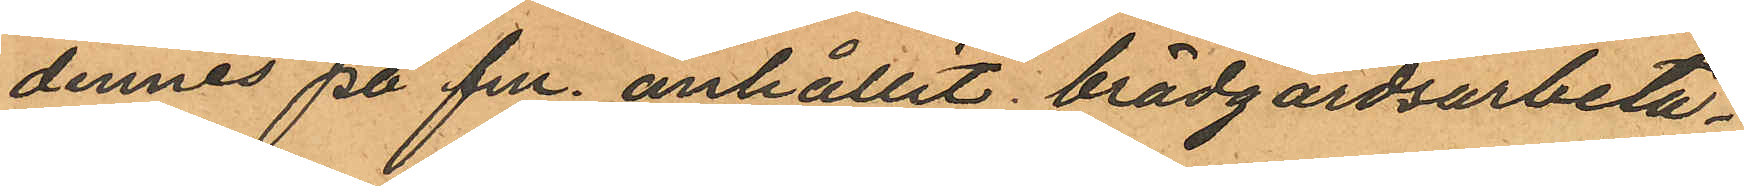dennes på fm. anhållit brädgårdsarbeta¬
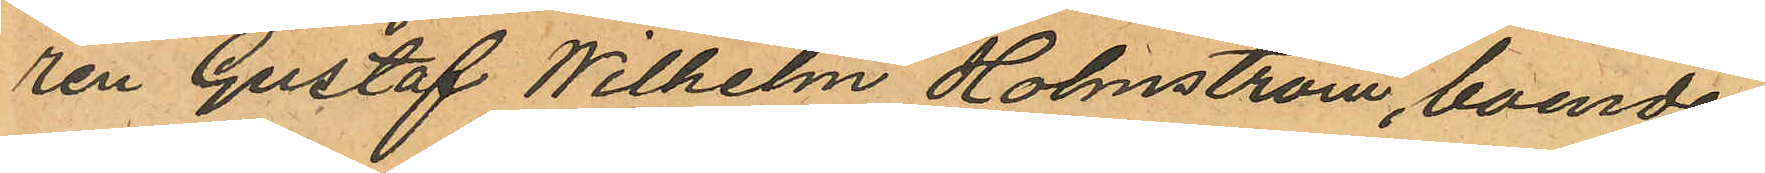ren Gustaf Wilhelm Holmström, boende
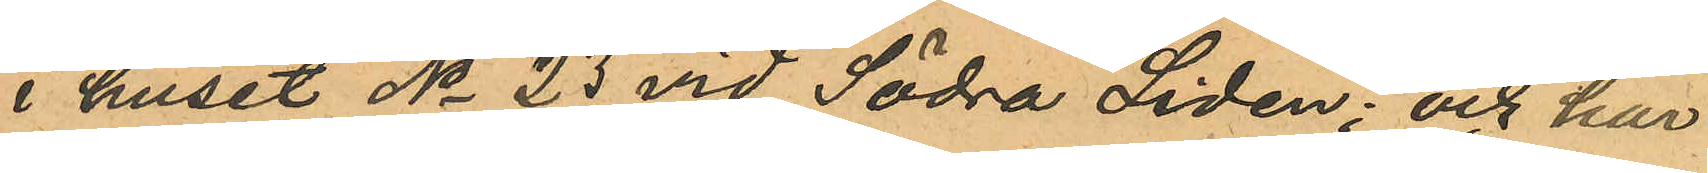i huset No 23 vid Södra Liden; och har
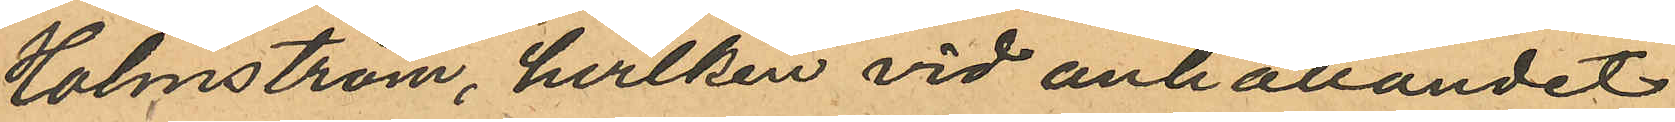Holmström, hvilken vid anhållandet
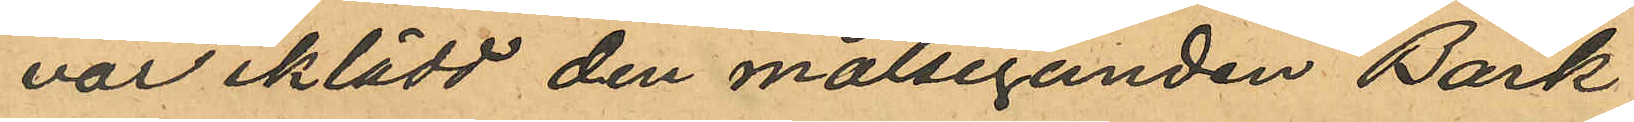var iklädd den målseganden Bark
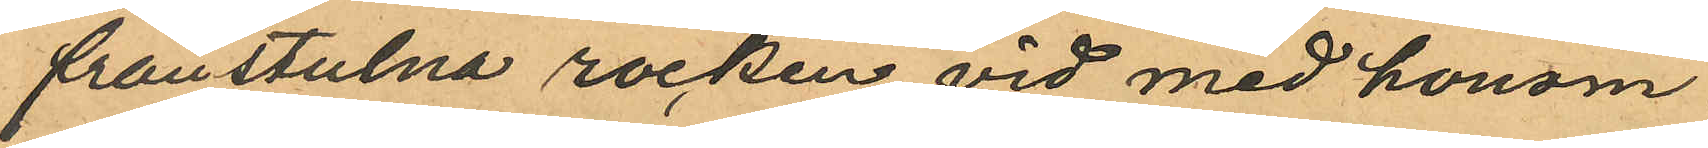frånstulna rocken vid med honom
